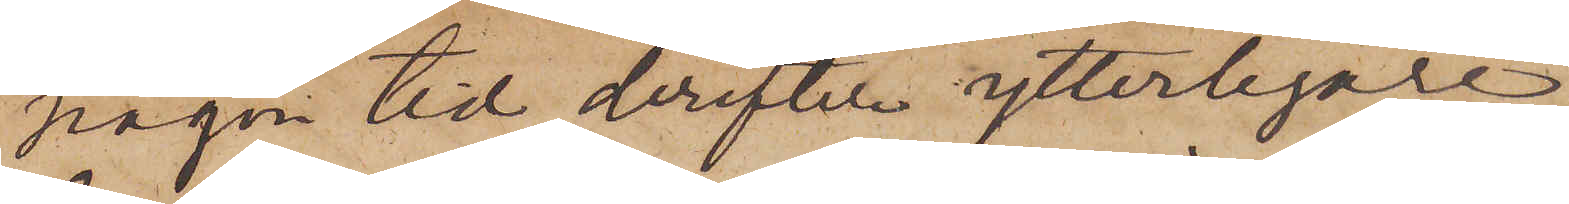någon tid derefter ytterligare
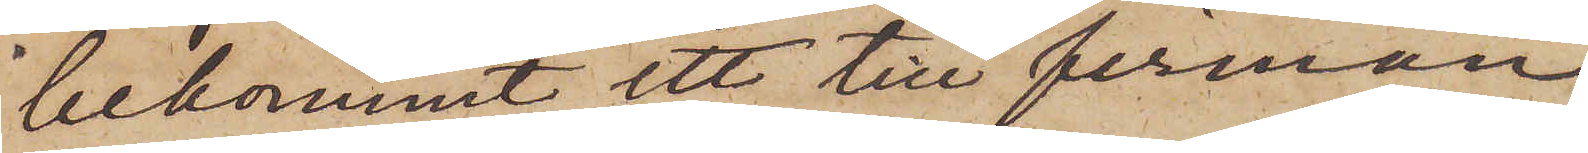bekommit ett till firman
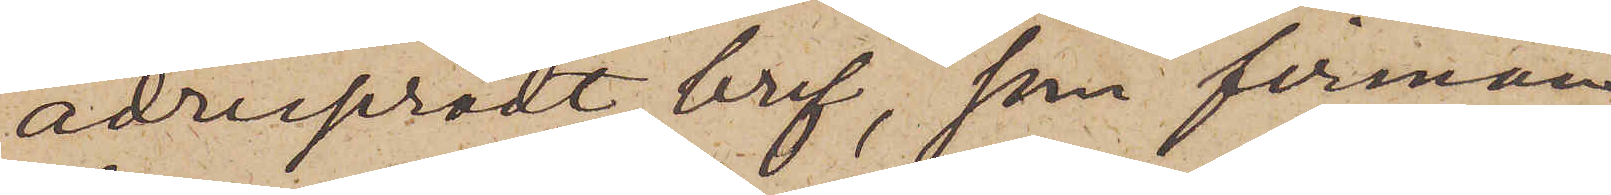adresseradt bref, som firman
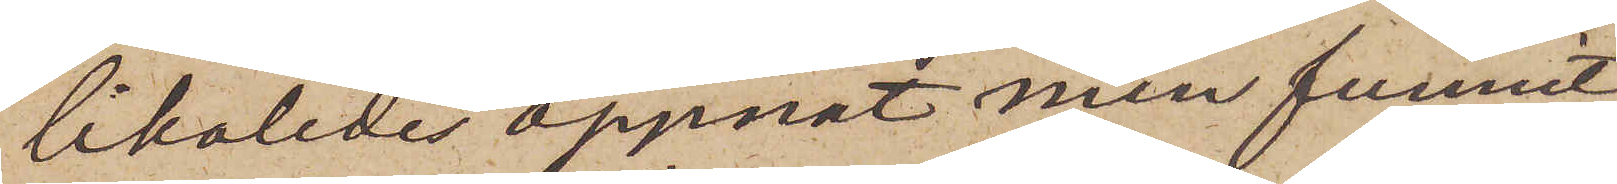likaledes öppnat men funnit
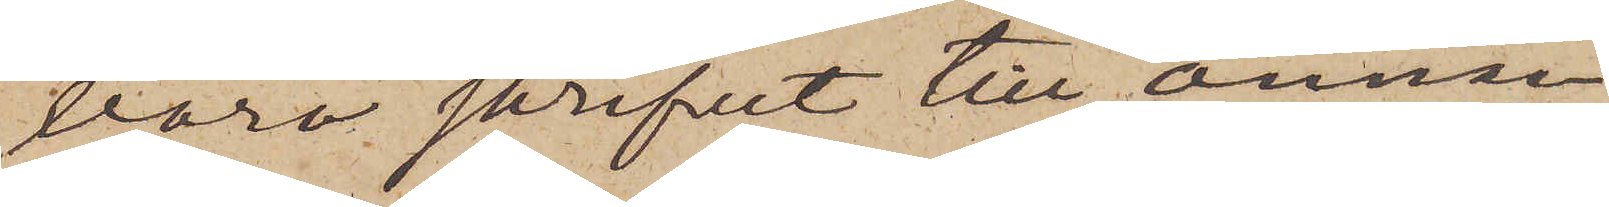vara skrifvet till annan
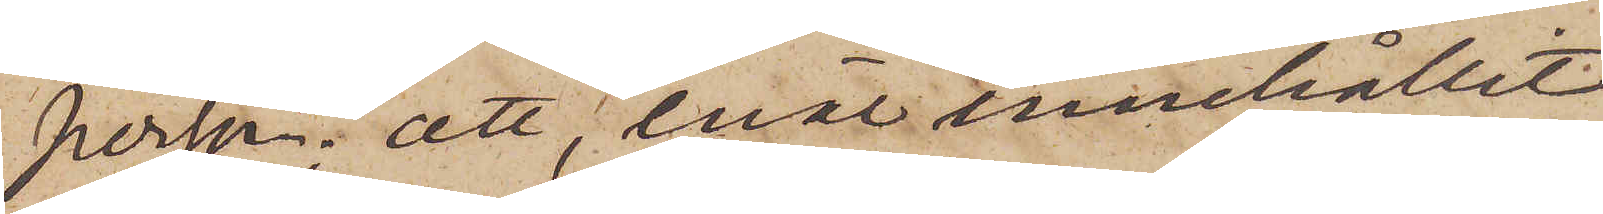person; att, enär innehållet
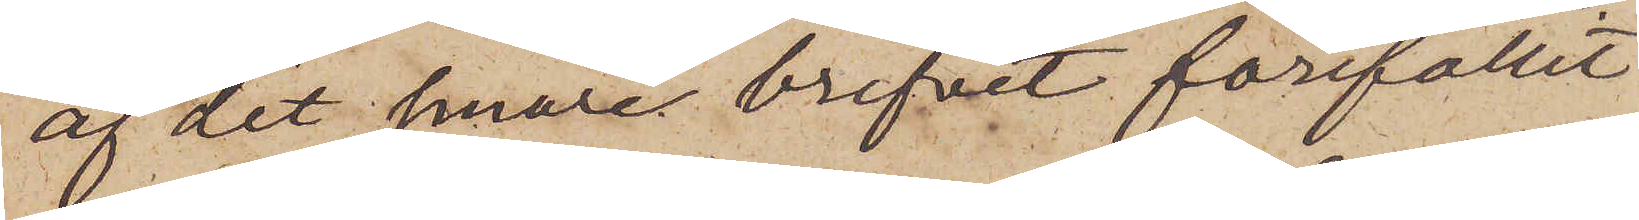af det senare brefvet förefallit
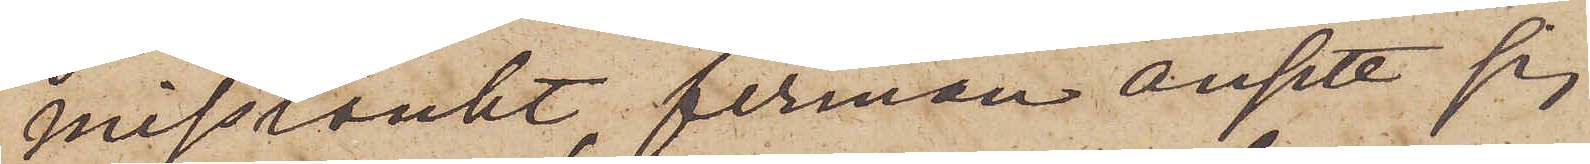misstänkt, firman ansett sig
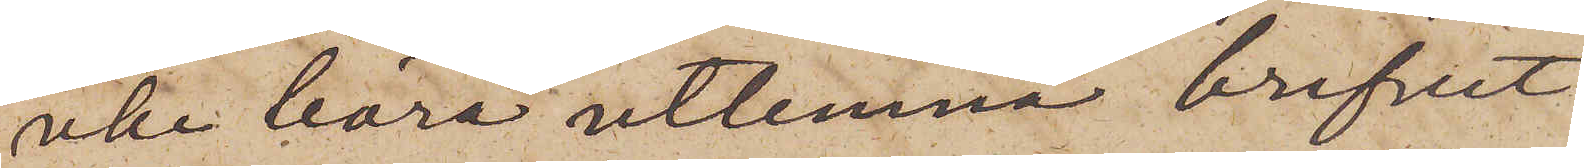icke böra utlemna brefvet
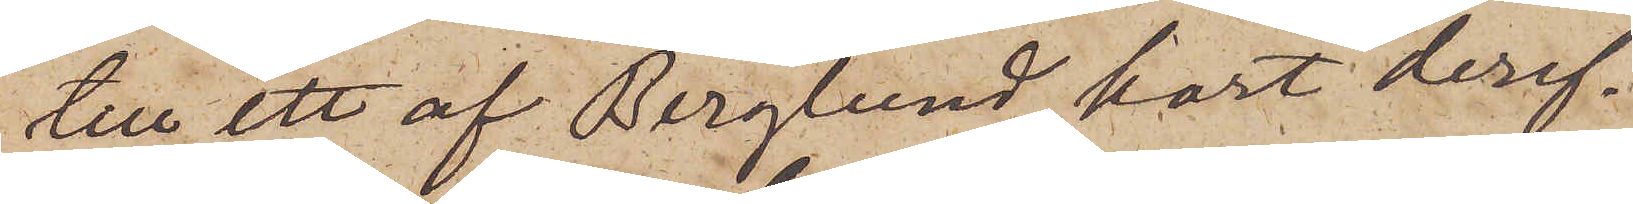till ett af Berglund kort deref¬
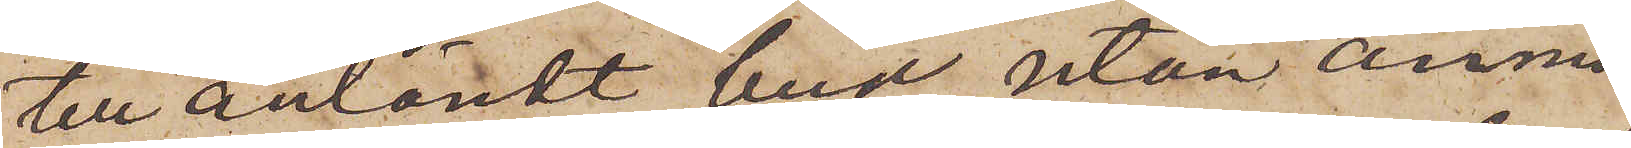ter anländt bud, utan anmo¬
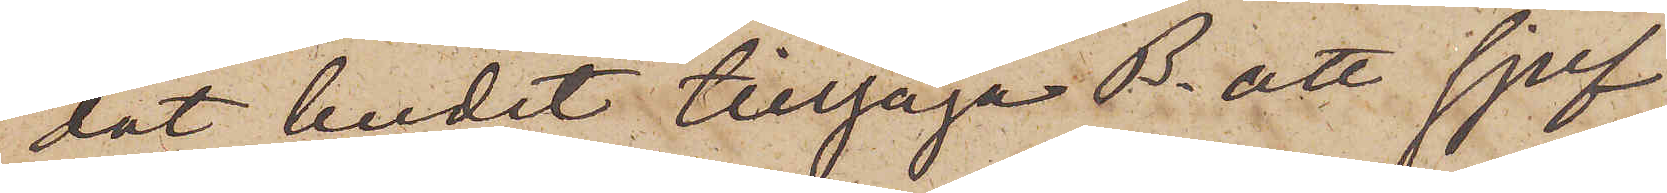dat budet tillsäga B. att sjelf
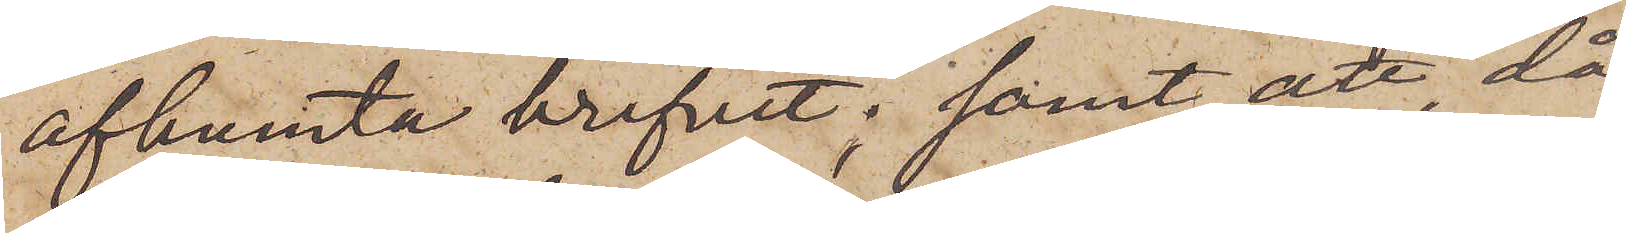afhemta brefvet; samt att, då
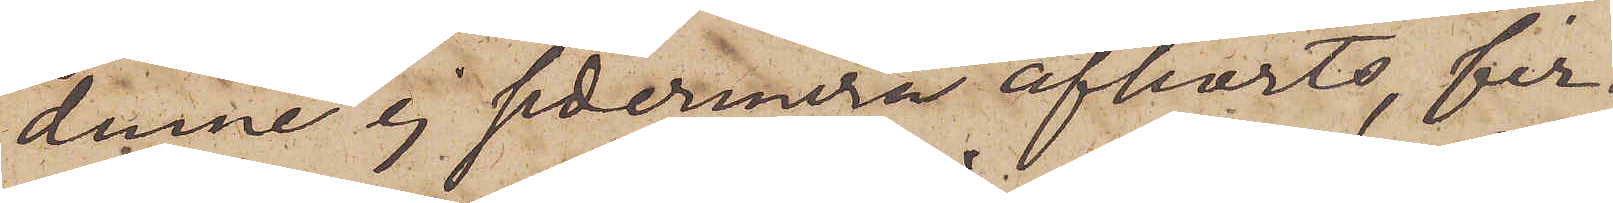denne ej sedermera afhörts, fir¬
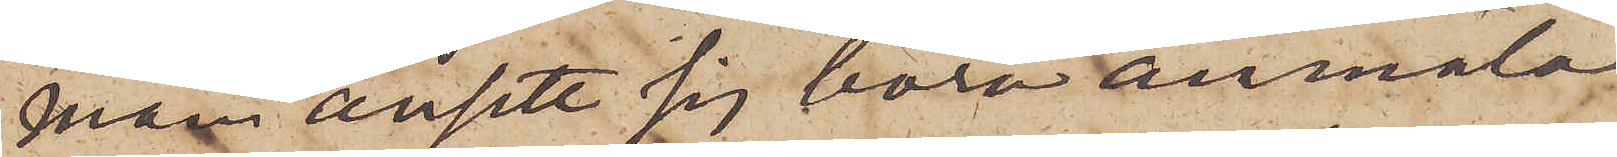man ansett sig böra anmäla
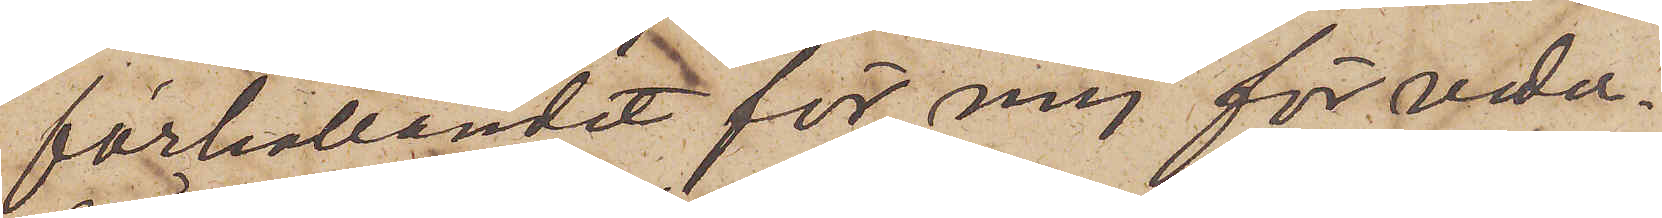förhållandet för mig för veder¬
